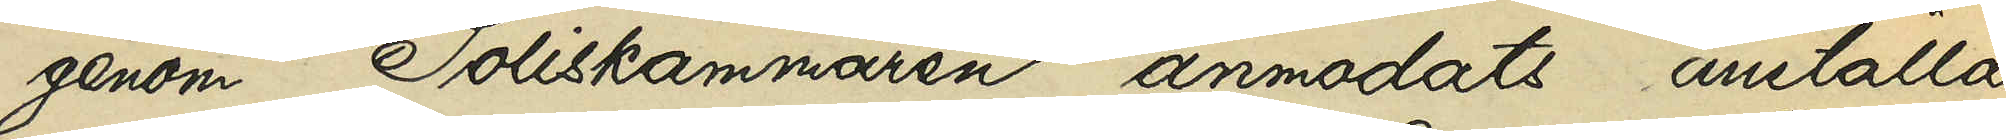genom Poliskammarena anmodats anställa
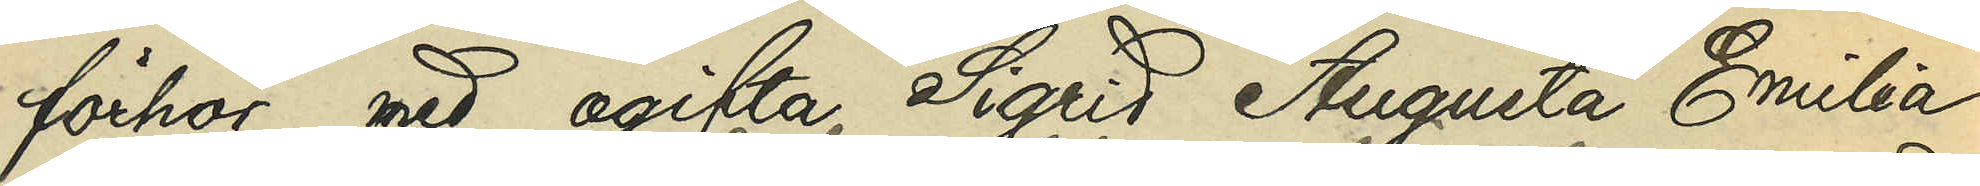förhör med ogifta Sigrid Augusta Emilia
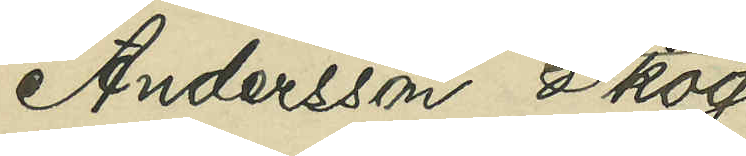Andersson Skog
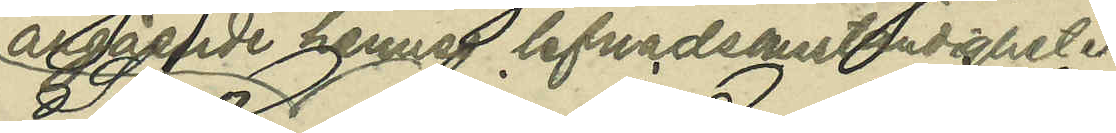angående hennes lefnadsomständigheter
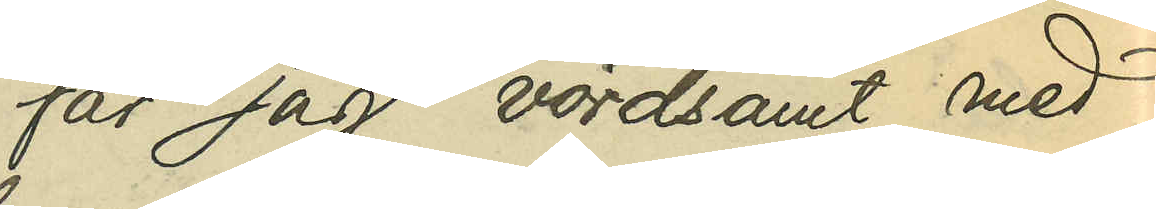får jag vördsamt med¬
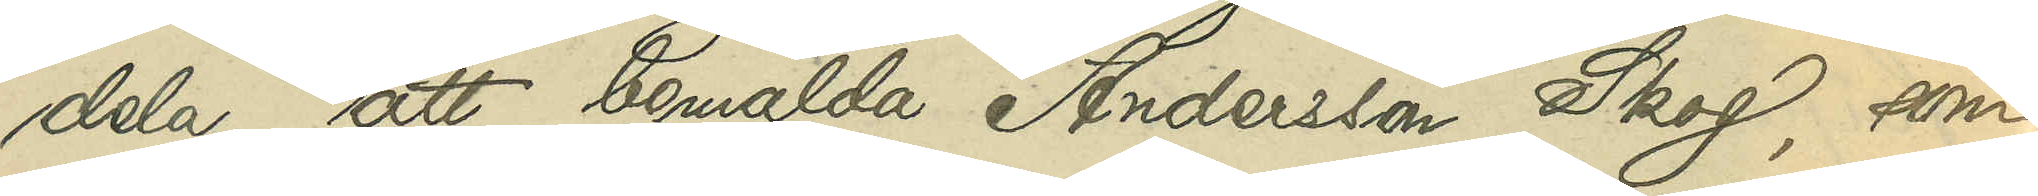dela, att bemälda Andersson Skog, som
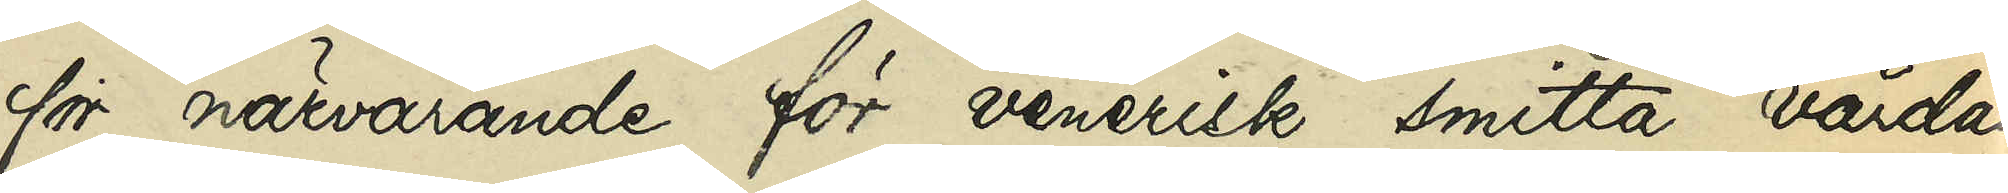för närvarande för venerisk smitta vårdas
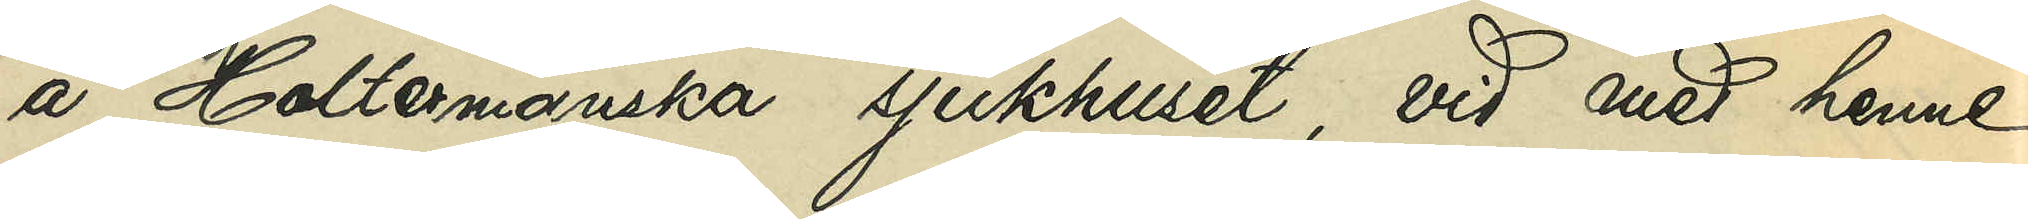å Holtermanska sjukhuset, vid med henne
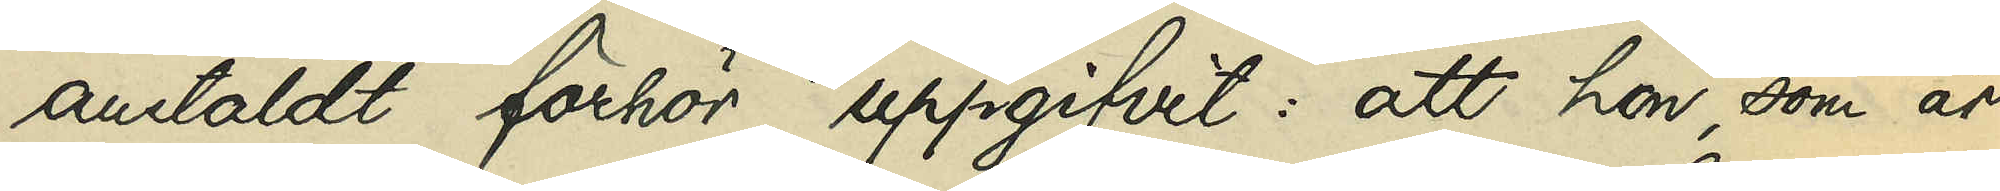anstäldt förhör uppgifvit: att hon, som är
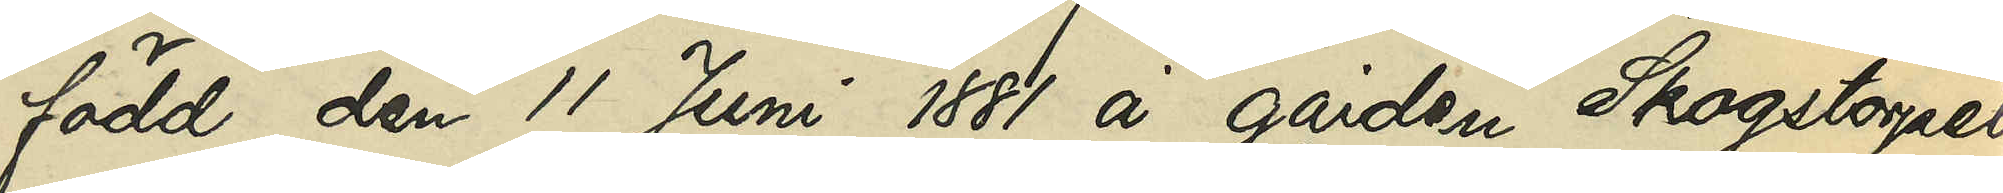född den 11 Juni 1881 å gården Skogstorpet
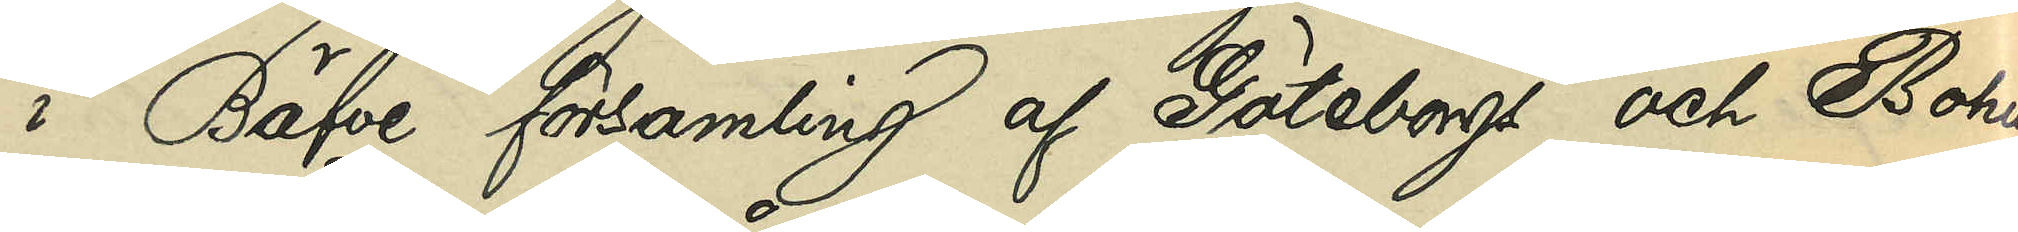i Bäfve församling af Göteborgs och Bohus
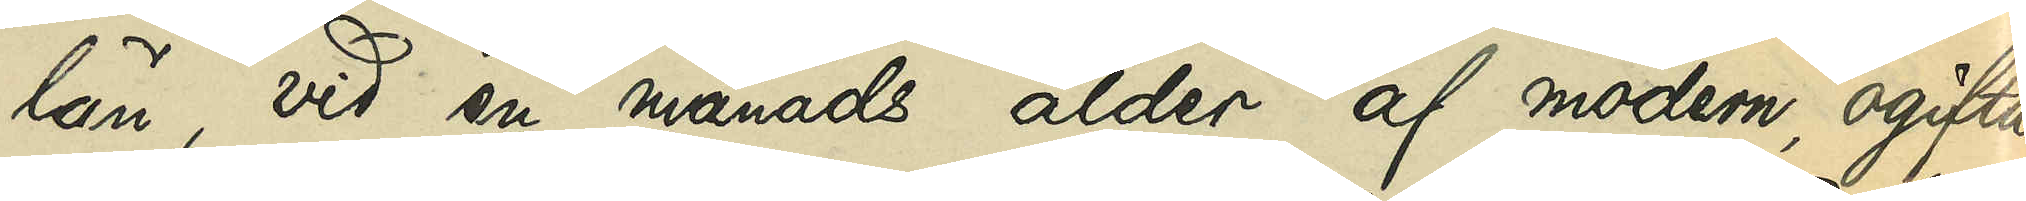län, vid en månads ålder af modern, ogifta
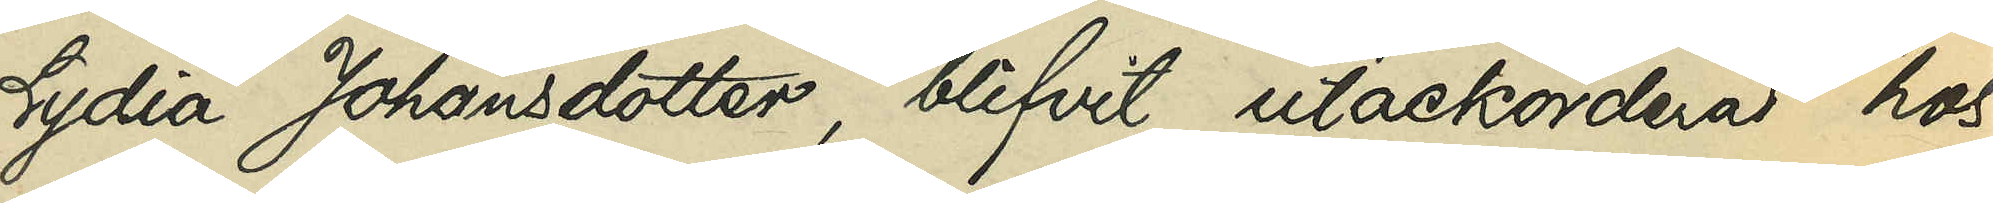Lydia Johansdotter, blifvit utackorderad hos
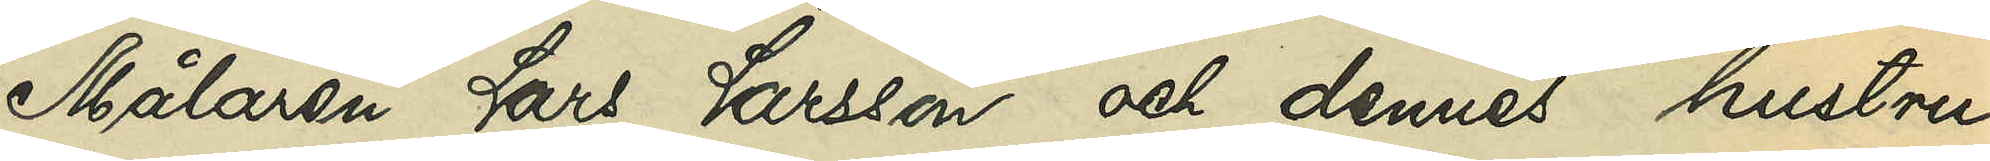Målaren Lars Larsson och dennes hustru
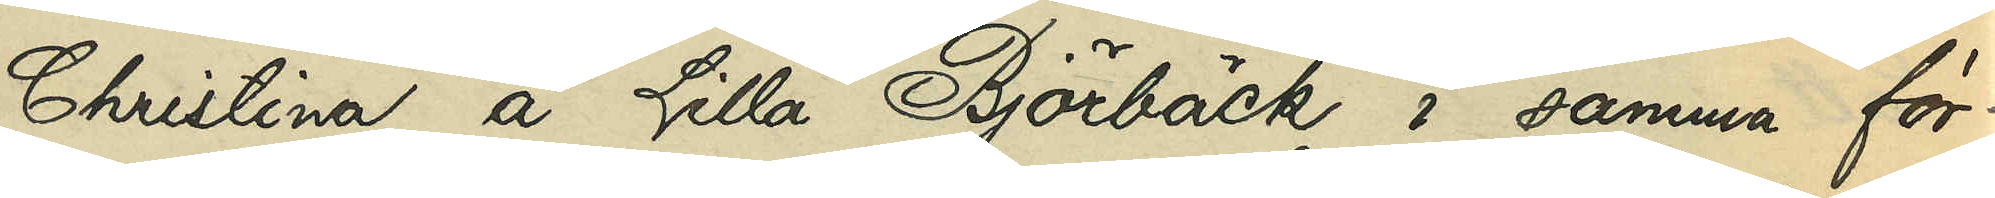Christina å Lilla Björbäck i samma för¬
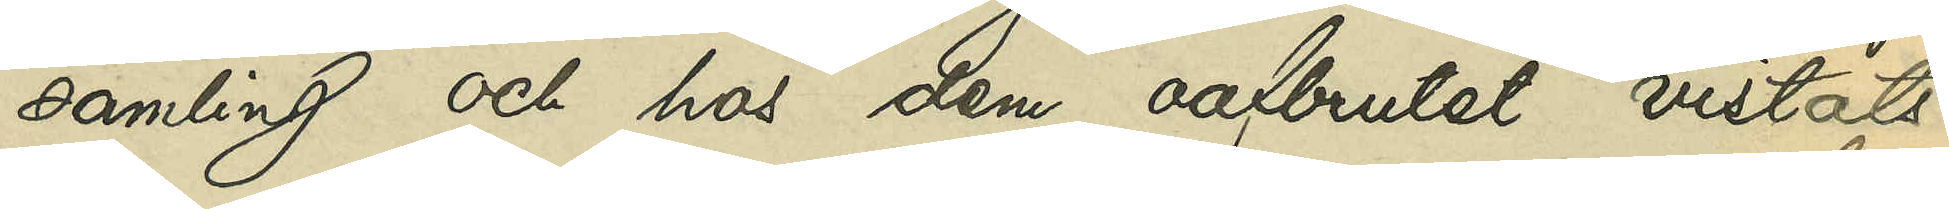samling och hos dem oafbrutet vistats
